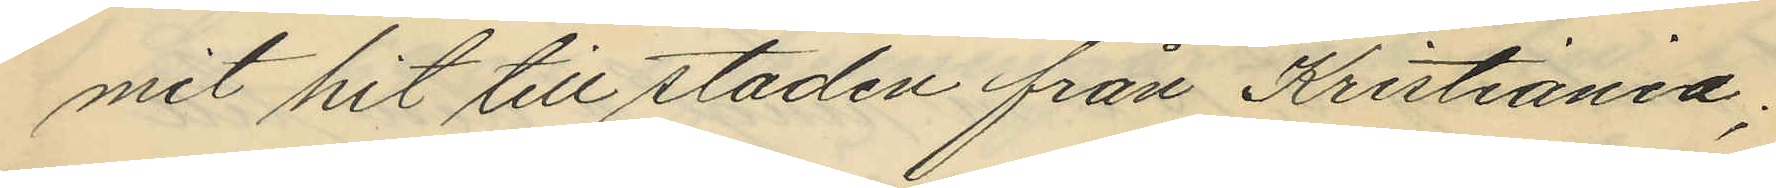mit hit till staden från Kristiania;
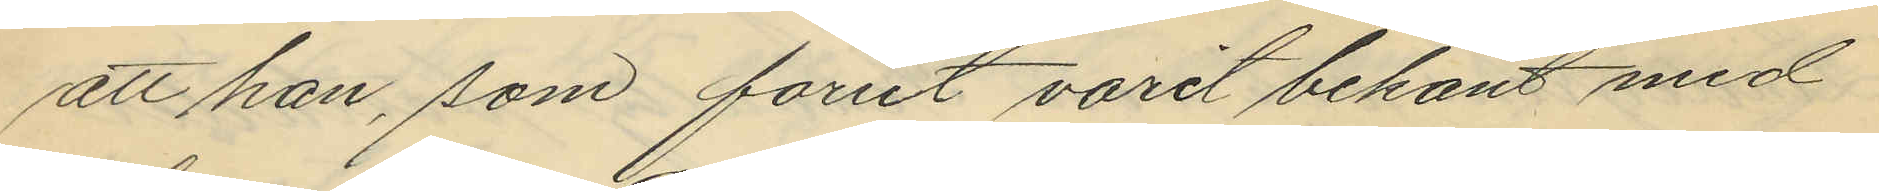att han, som forut varit bekant med
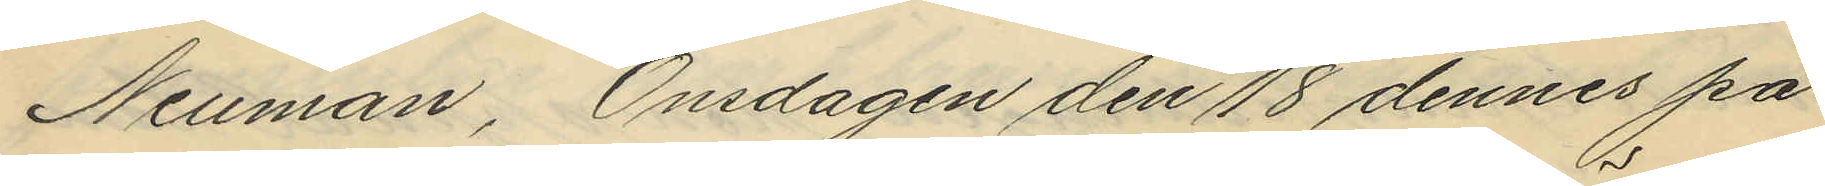Neuman, Onsdagen den 18 dennes på
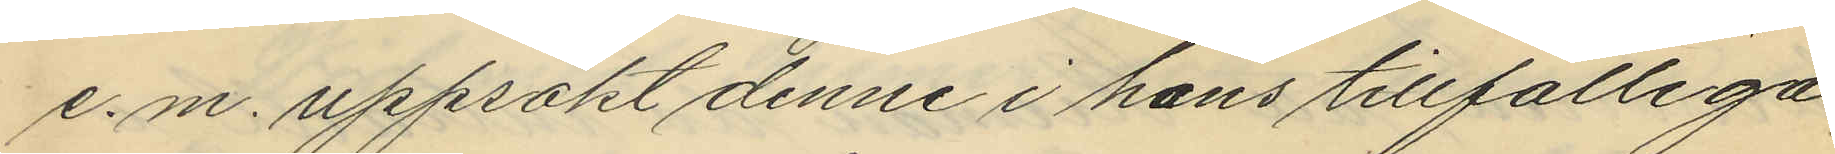e.m. uppsökt denne i hans tillfälliga
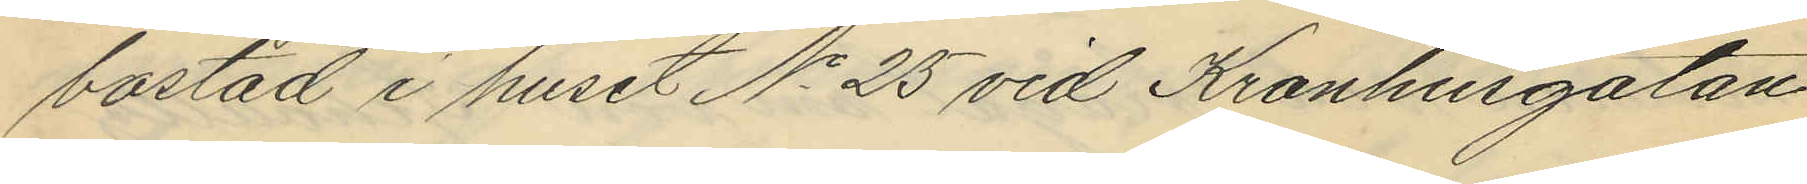bostad i huset No 25 vid Kronhusgatan
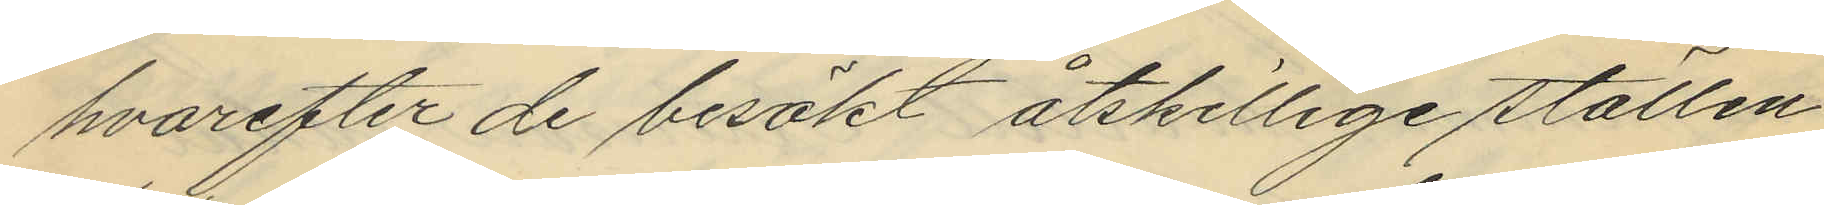hvarefter de besökt åtskillige ställen
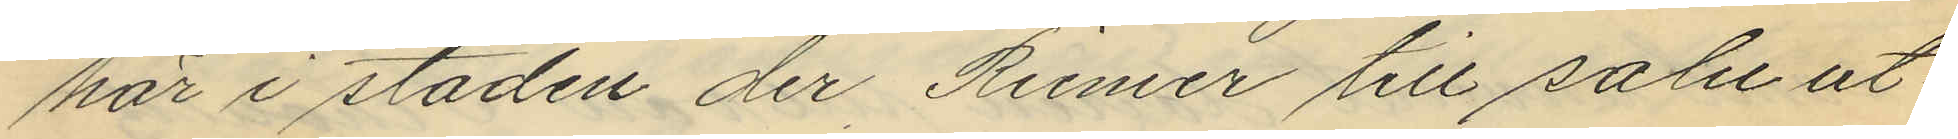här i staden der Riemer till salu ut¬
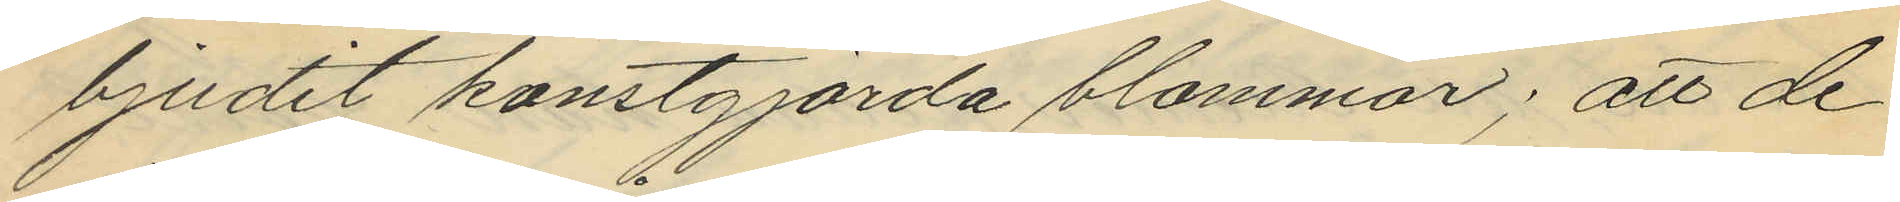bjudit konstgjorda blommor; att de
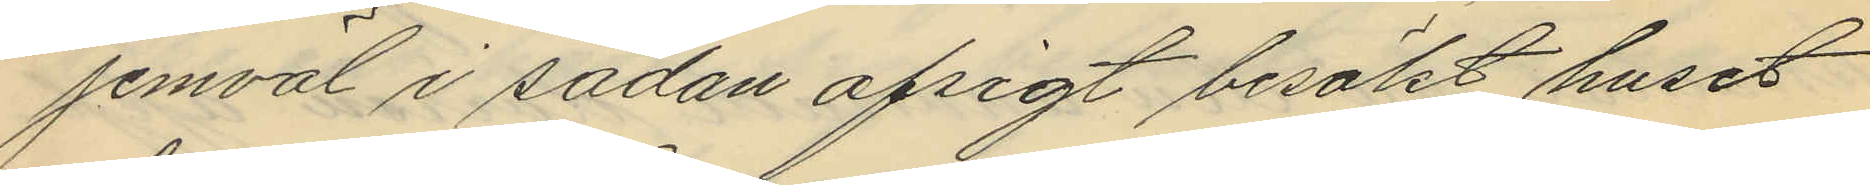jemväl i sådan afsigt besökt huset
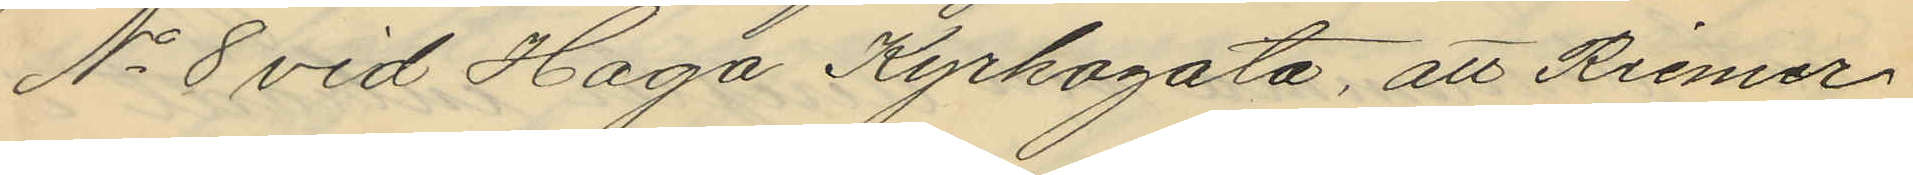No 8 vid Haga Kyrkogata, att Riemer
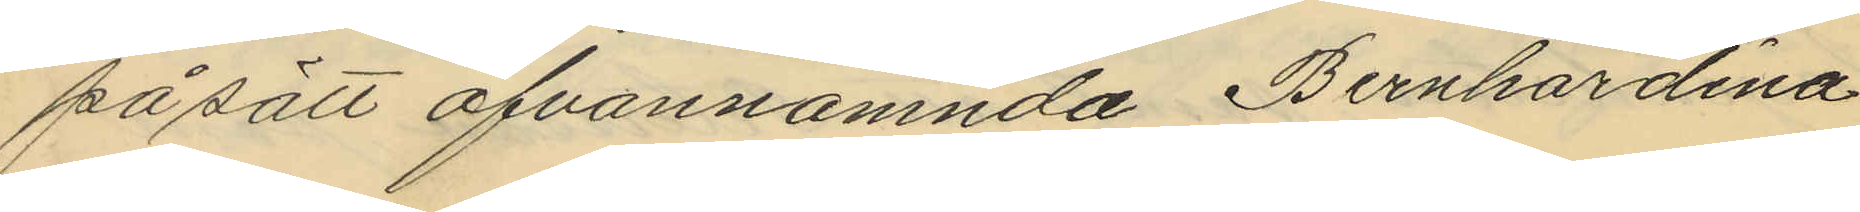på sätt ofvannämnda Bernhardina
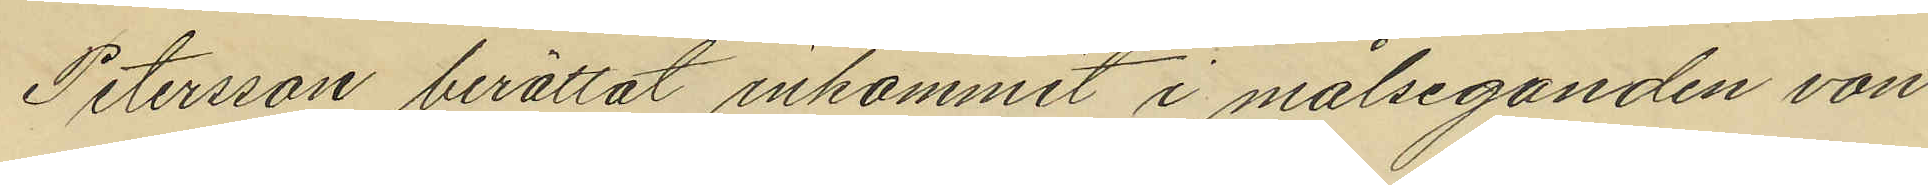Petersson berättat inkommit i målseganden von
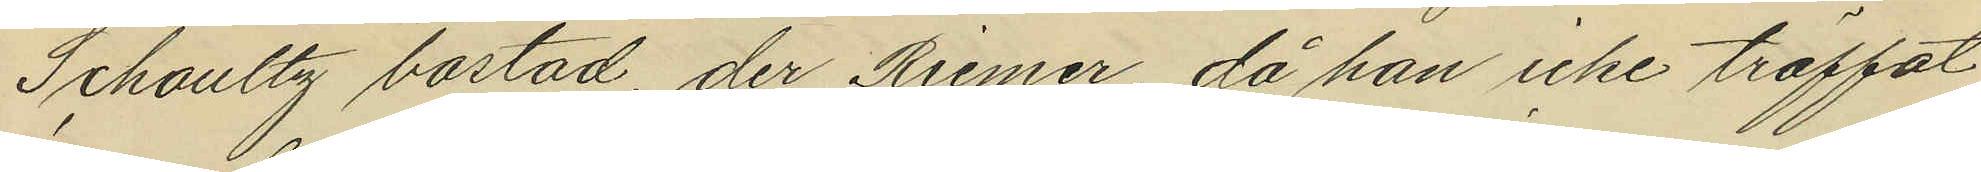Schoultz bostad, der Riemer, då han icke träffat
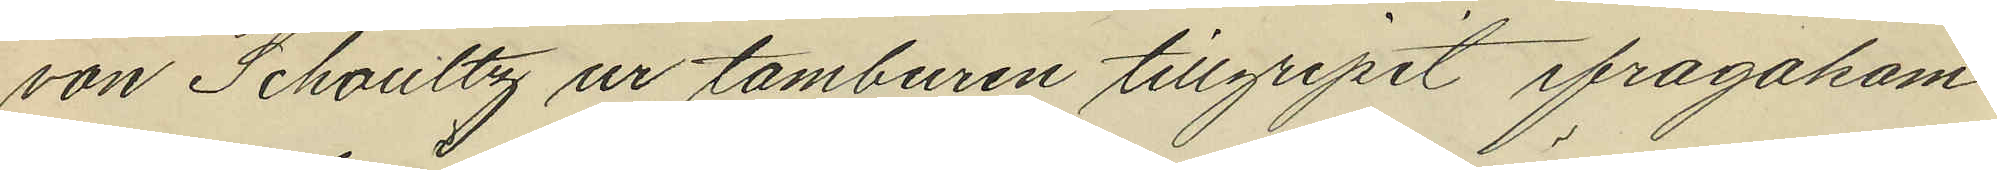von Schoultz ur tamburen tillgripit ifragakom¬
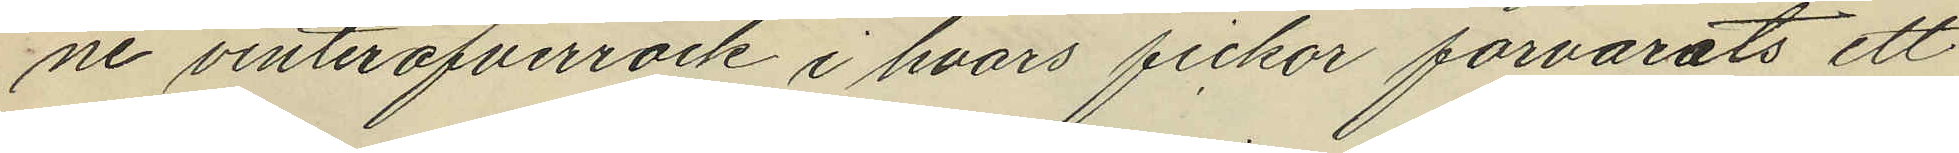ne vinteröfverrock i hvars fickor förvarats ett
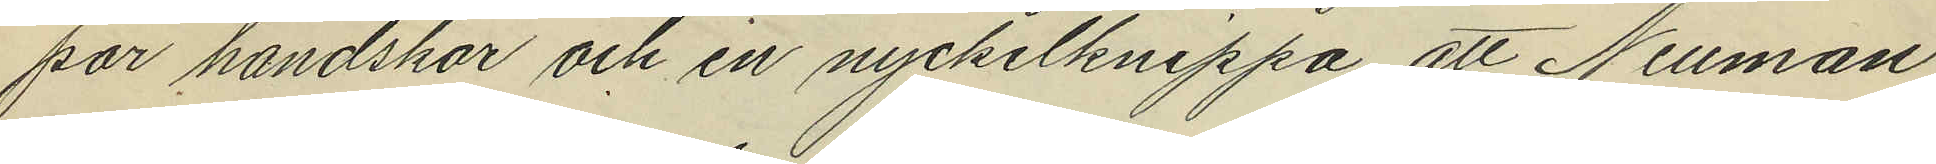par handskar och en nyckelknippa, att Neuman
